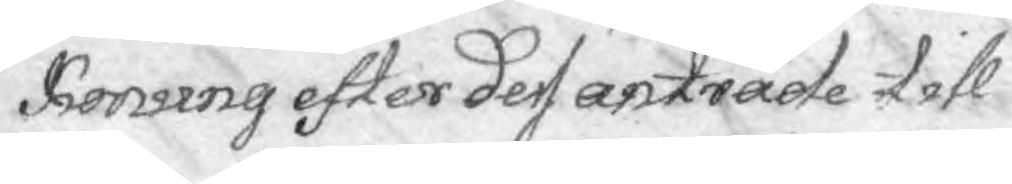Konung efter dess anträde till
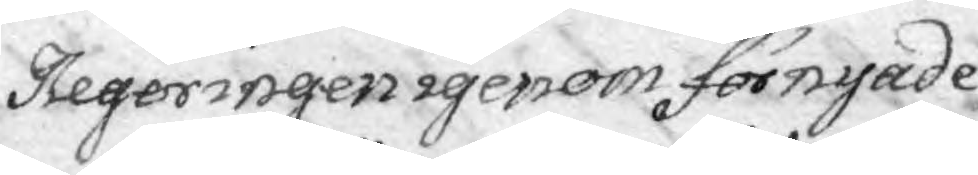Regeringen igenom förnyade
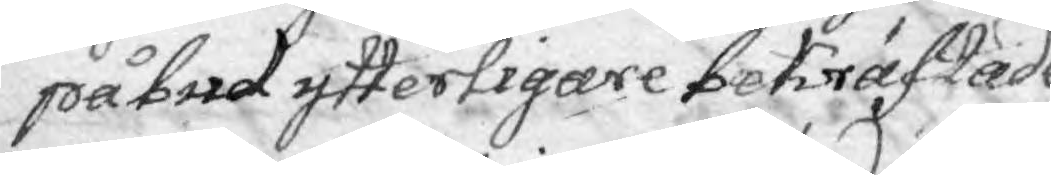påbud ytterligare bekräftade
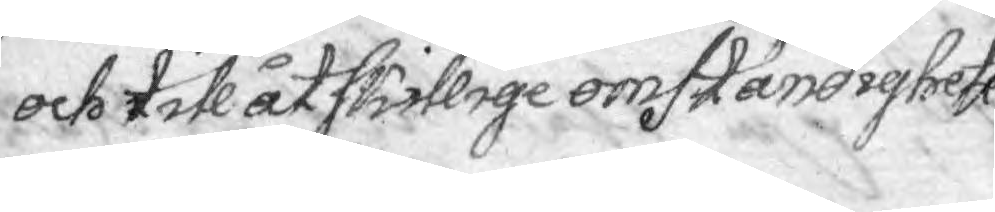och till åtskillige omständigheter
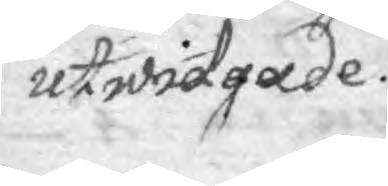utwidgade.
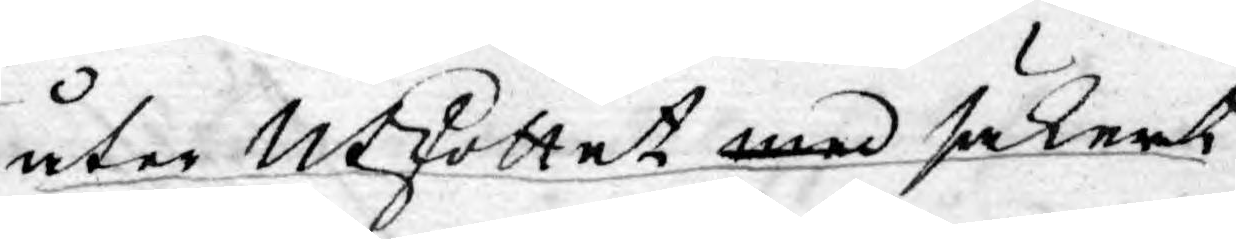åter Utskottet med säkert
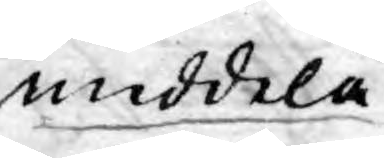meddela.
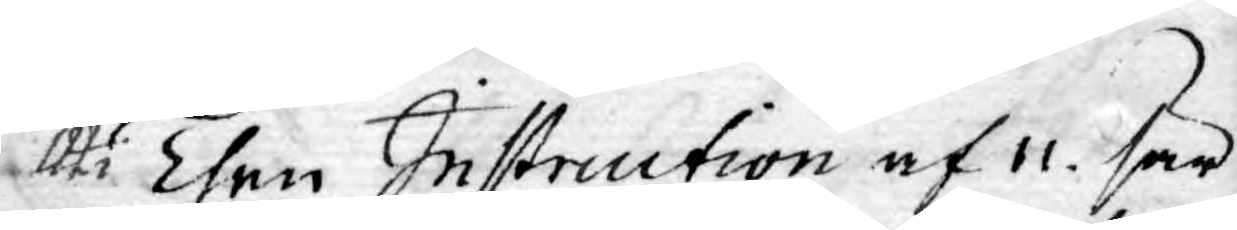Uti Then Instruction af 11. sär¬
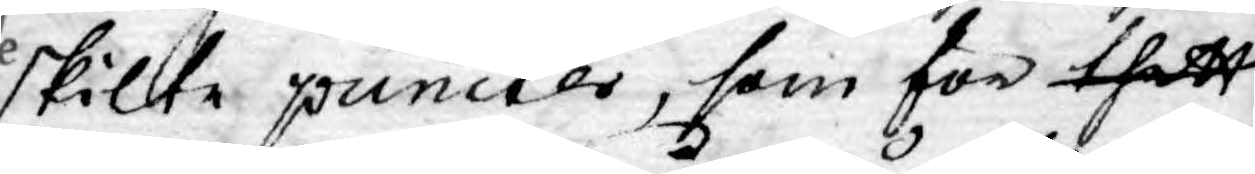skilte puncter, som för thett
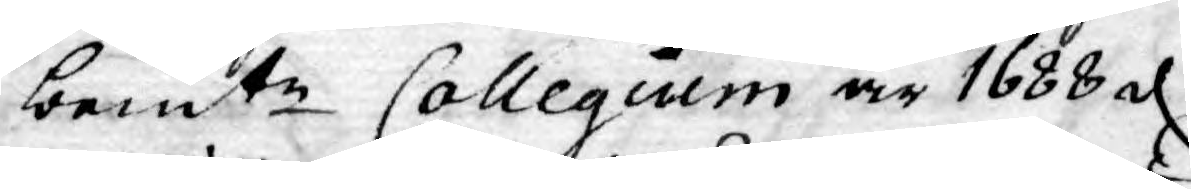bemte Collegium år 1688 d.
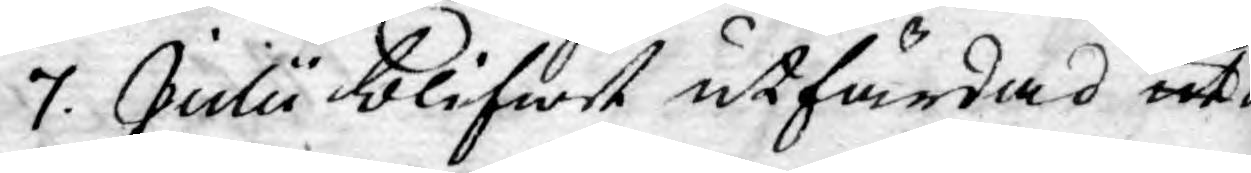7. Julii blifwit utfärdad ut¬
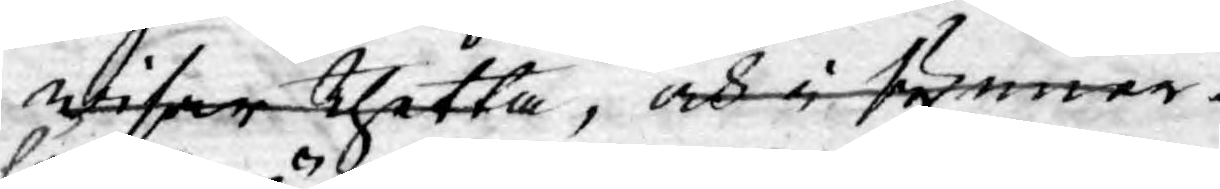wisar thetta, och i synner¬
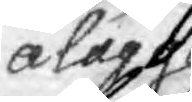ålägger
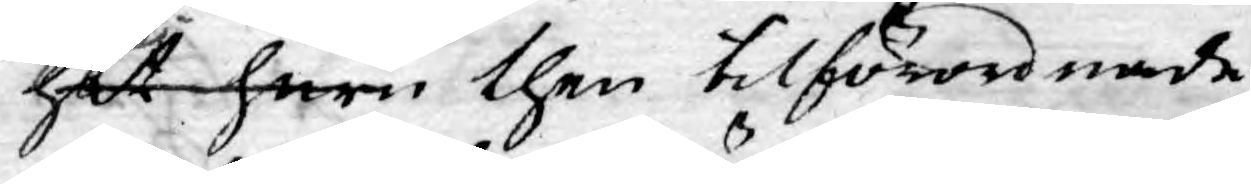het huru then tilförordnade
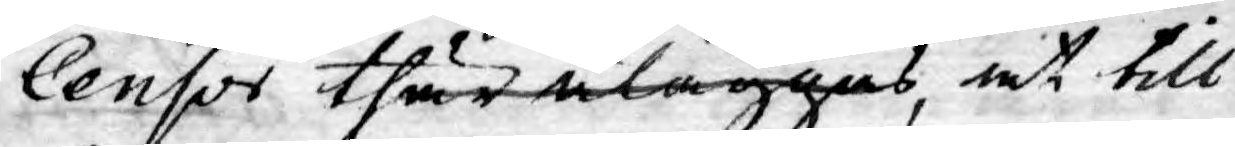Censor thär åläggas, at till
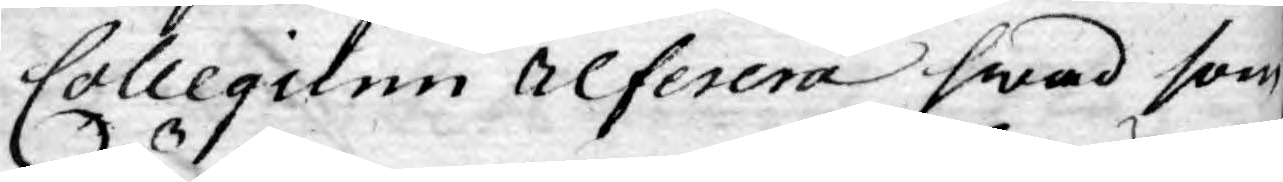Collegium referera hwad som
